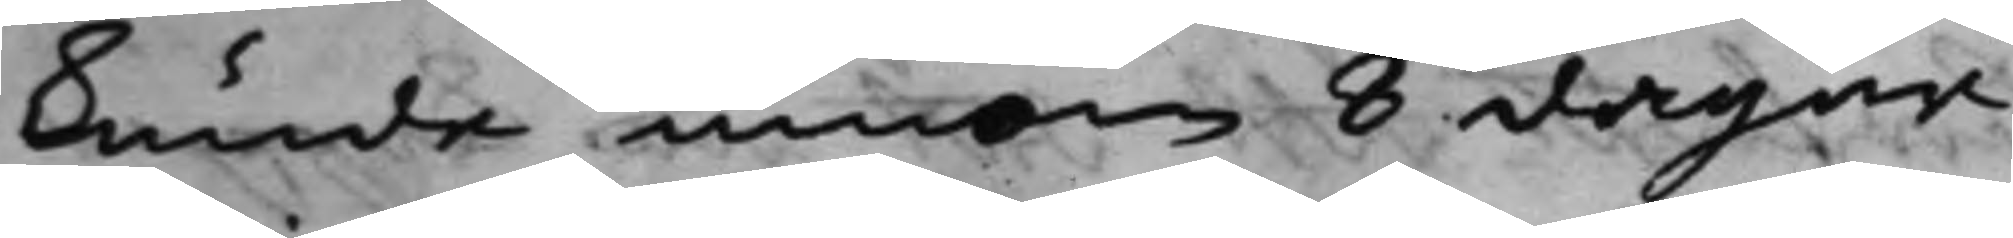kunde innom 8 dagar
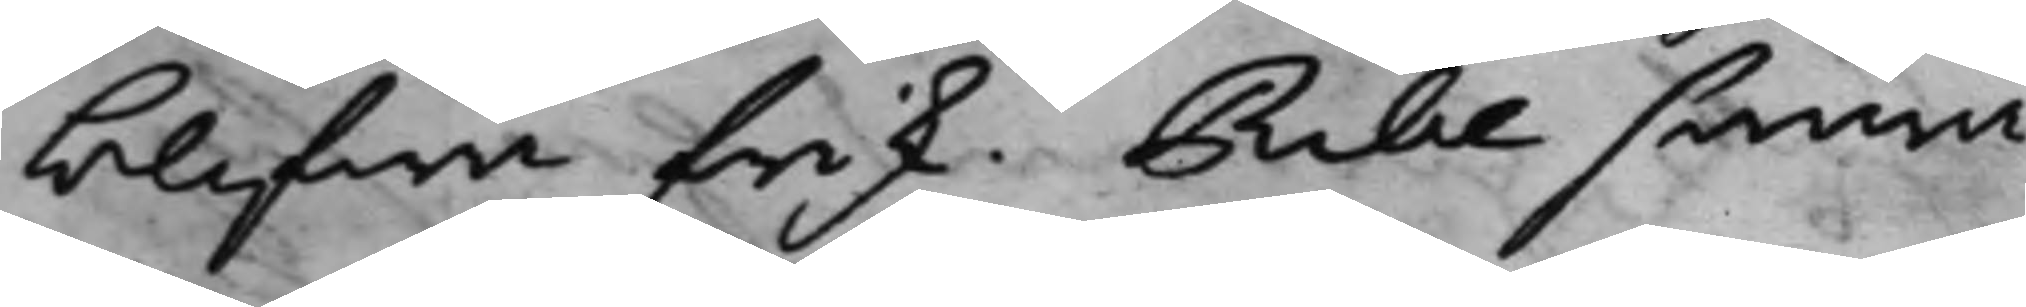blifwa frisk. Ribe swara¬
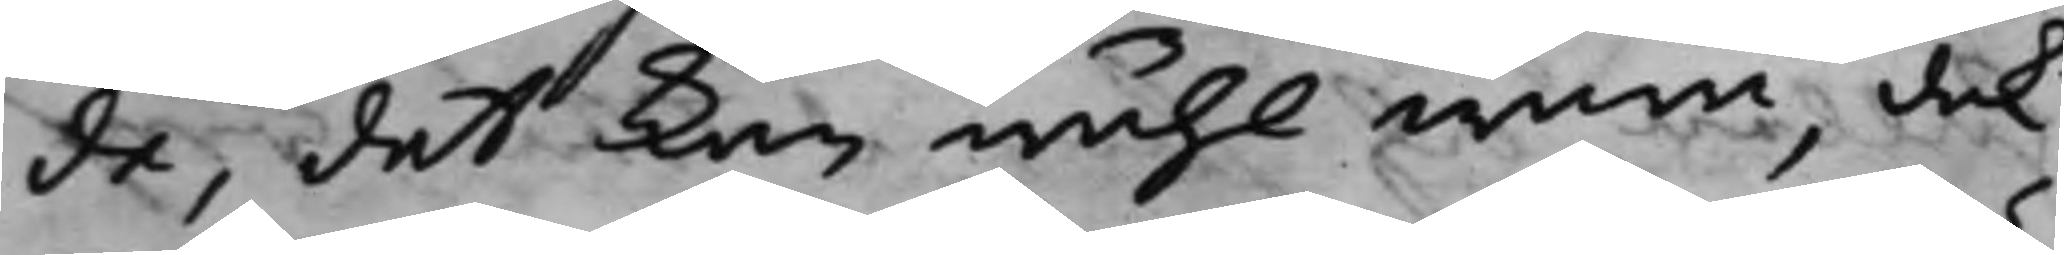de, det kan wähl wara, dock
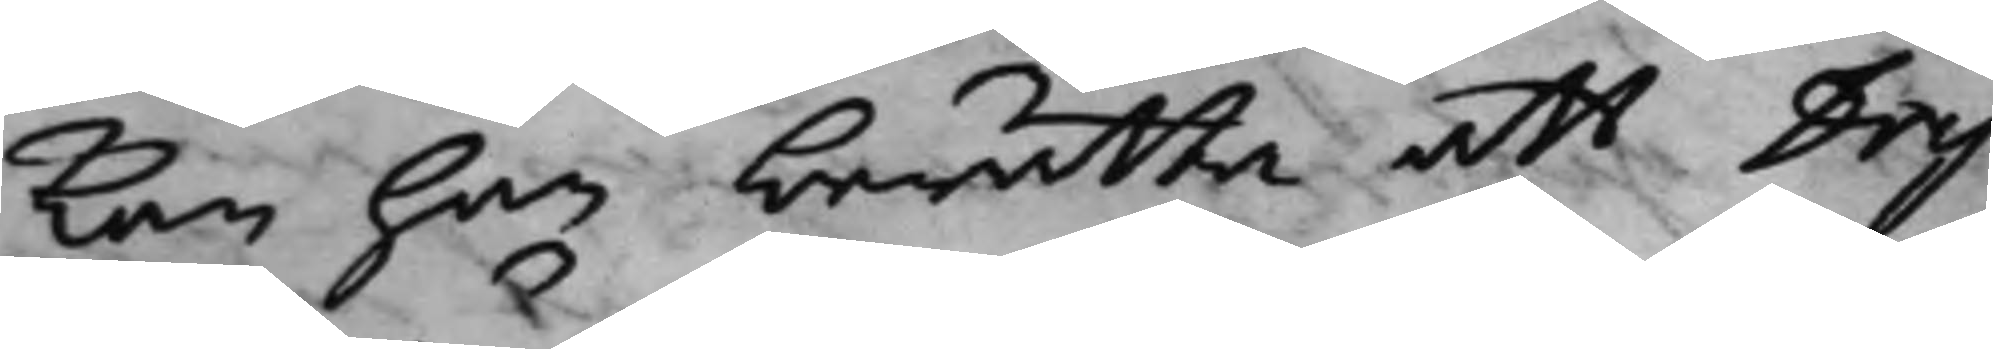kan han berätta att Dry¬
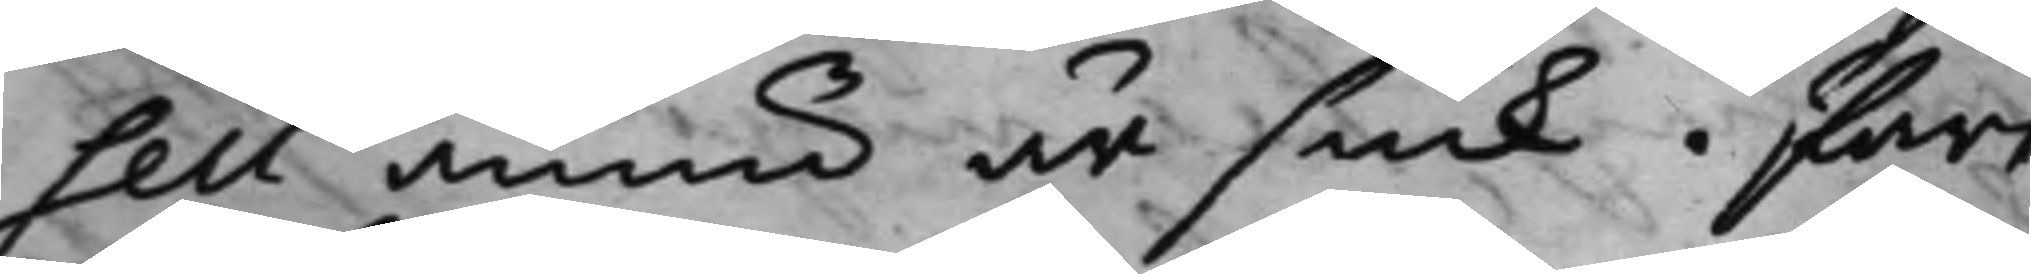sell ännu är siuk. Part:
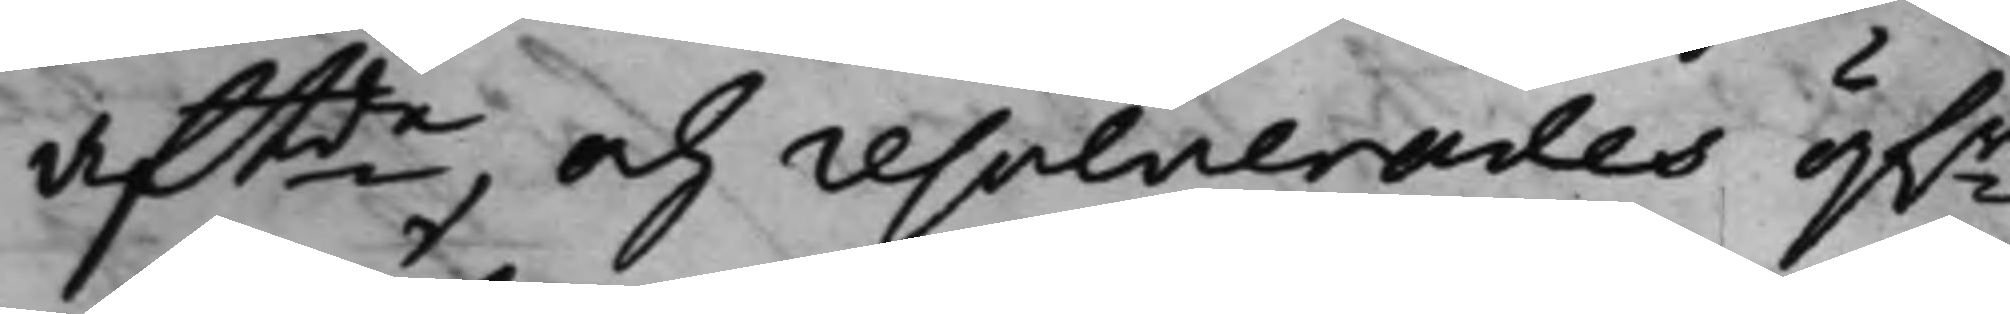aftde, och resolverades öf.r
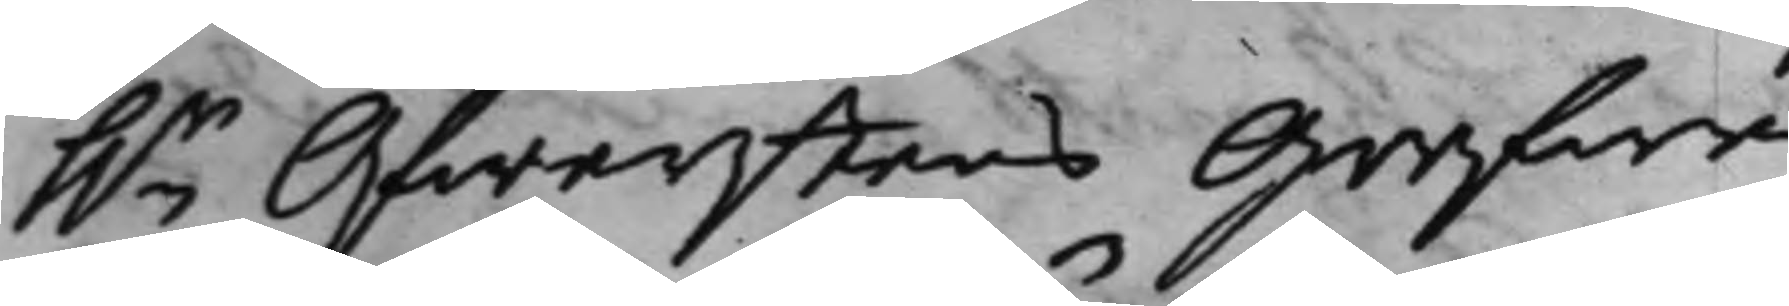h.r Öfwerstens Grefwe
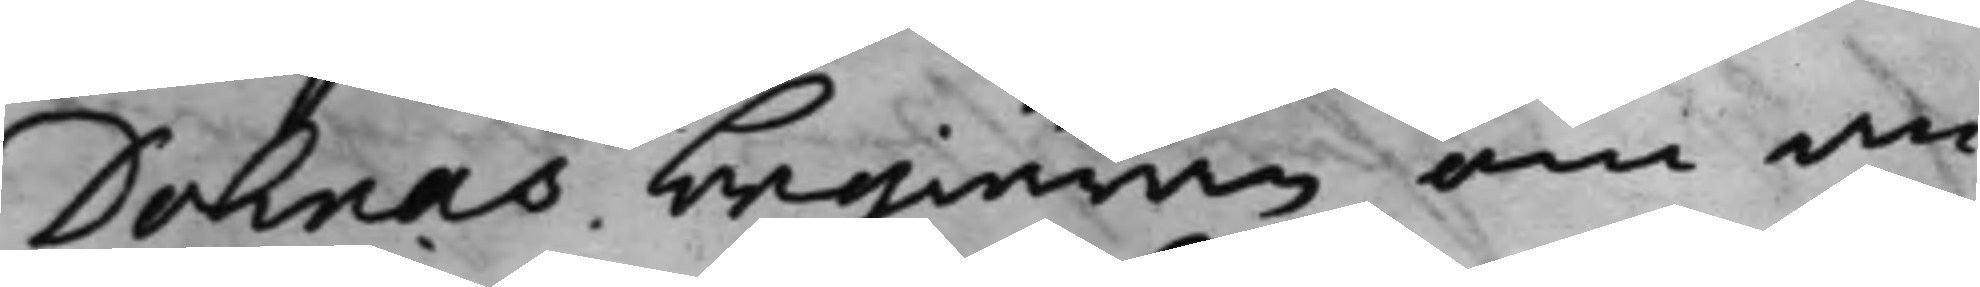Dohnas begiäran om an¬
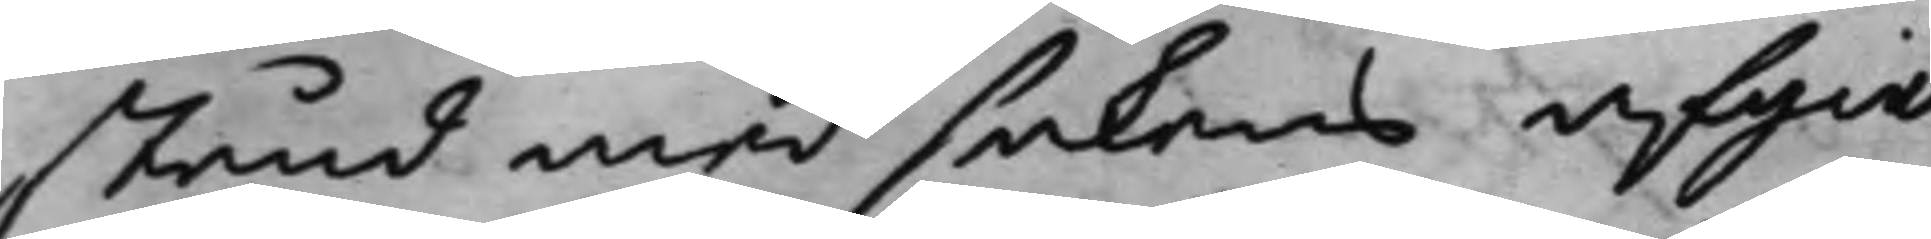stånd med sakens afgiö¬
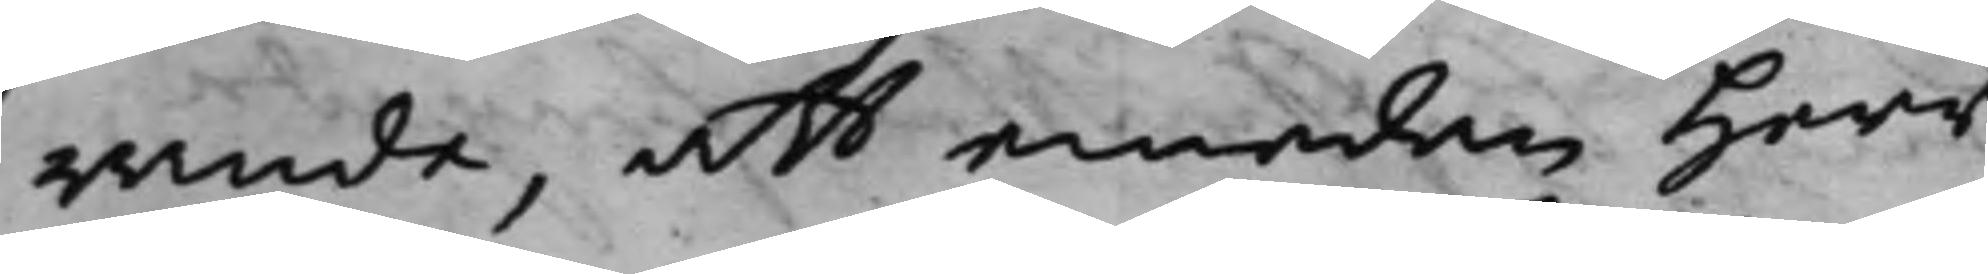rande, att emedan Herr
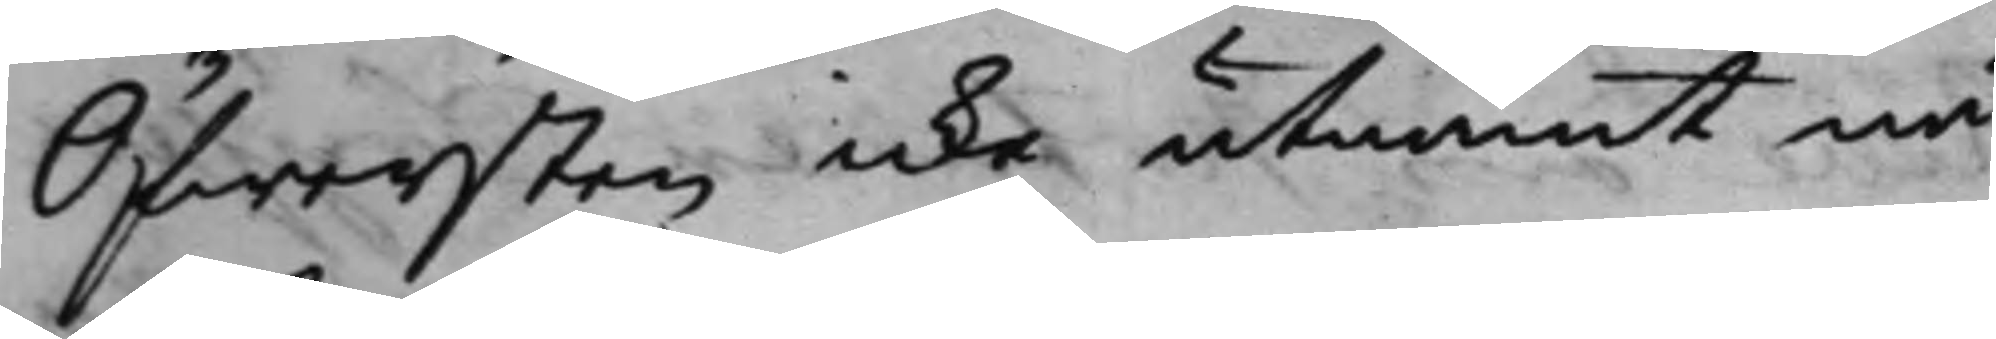Öfwersten icke utnämt nå¬
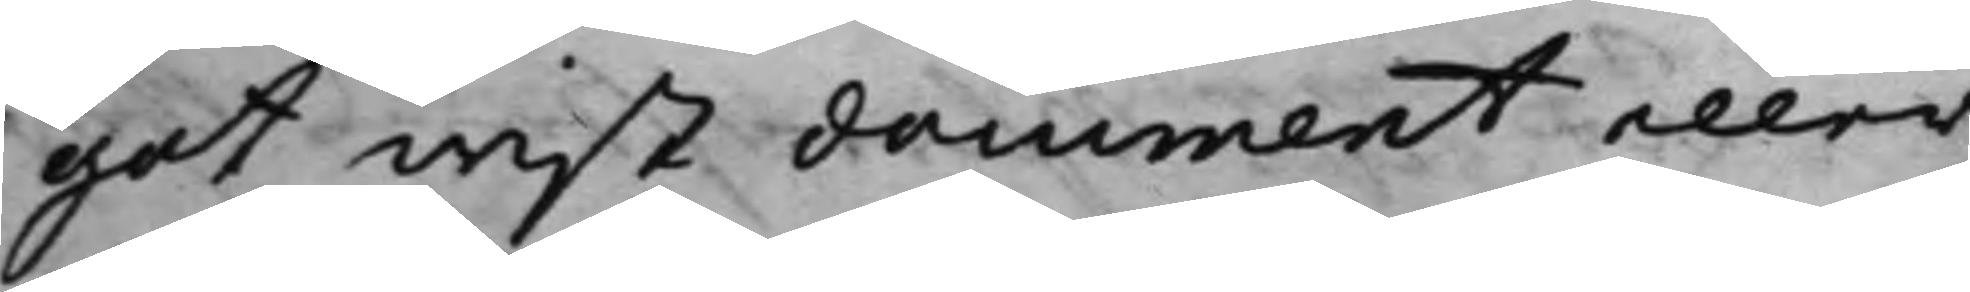got wist document eller
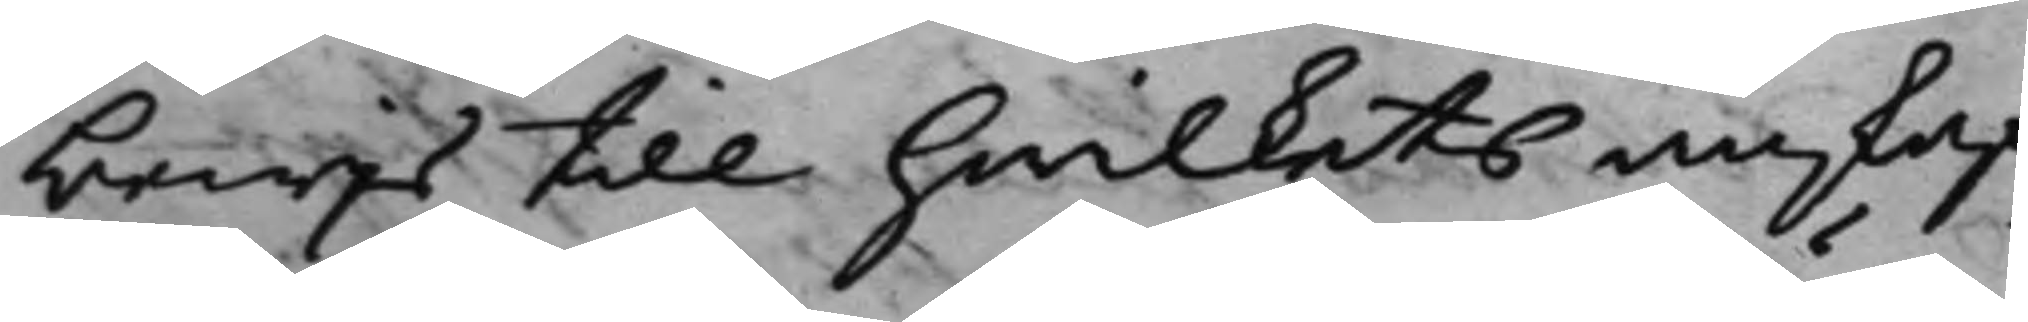bewijs till hwilkets anskaf¬
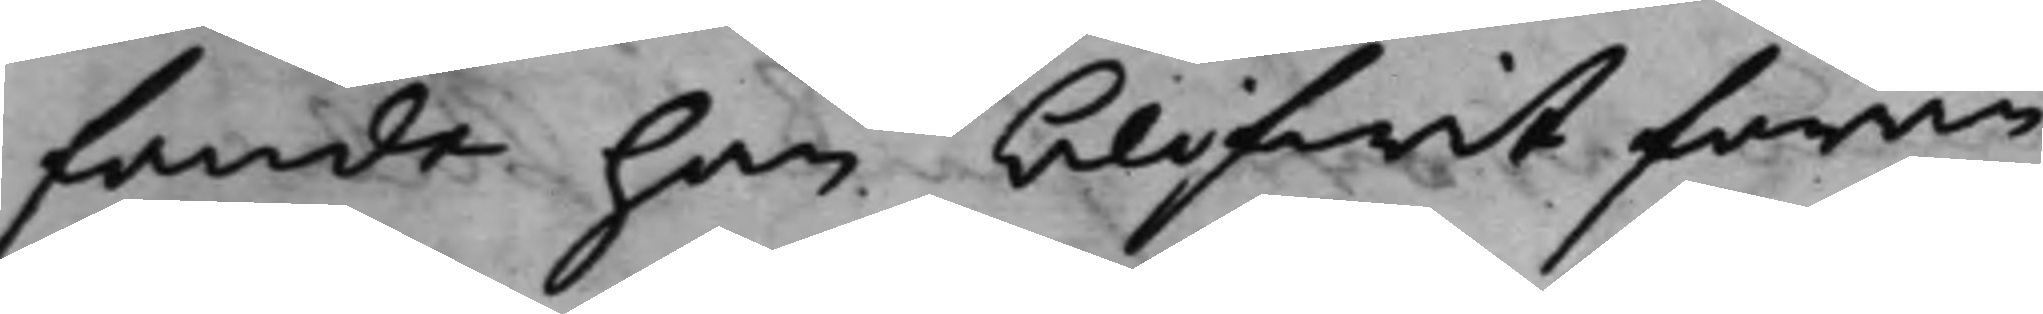fande han blifwit föran¬
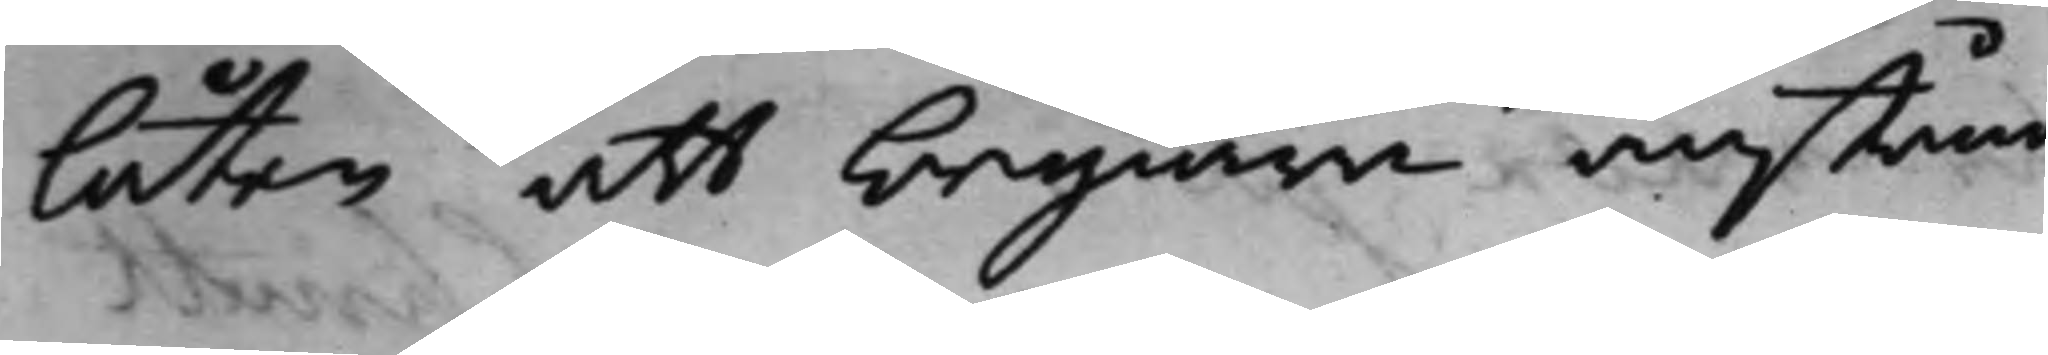låten att begiära anstånd
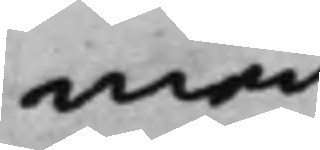med
